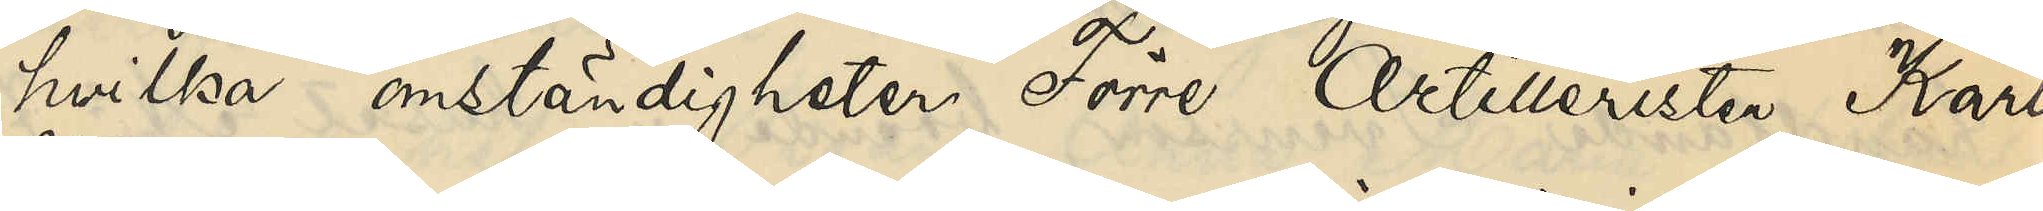hvilka omständigheter Förre Artilleristen Karl
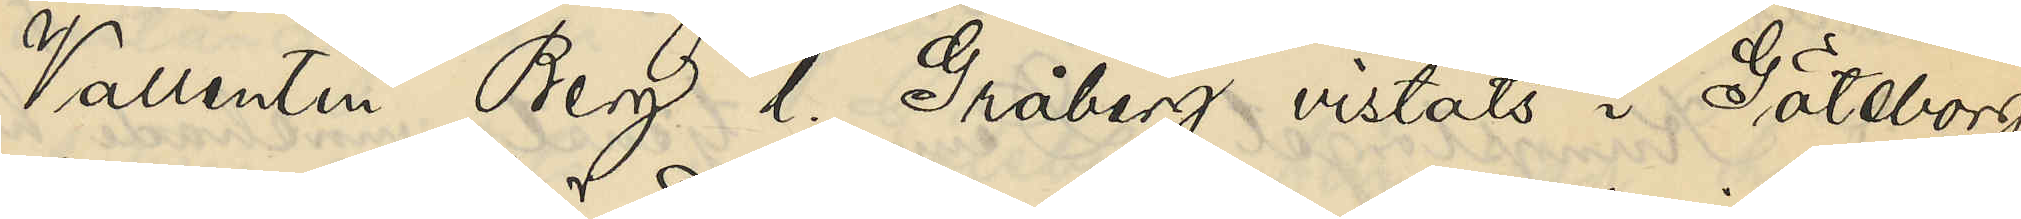Valletin Berg / Gråberg vistats i Göteborg,
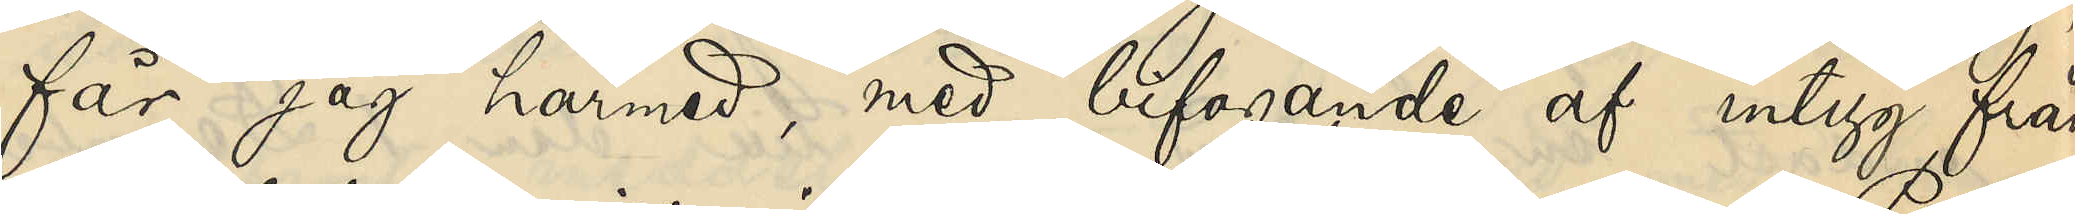får jag härmed, med bifogande af intyg från
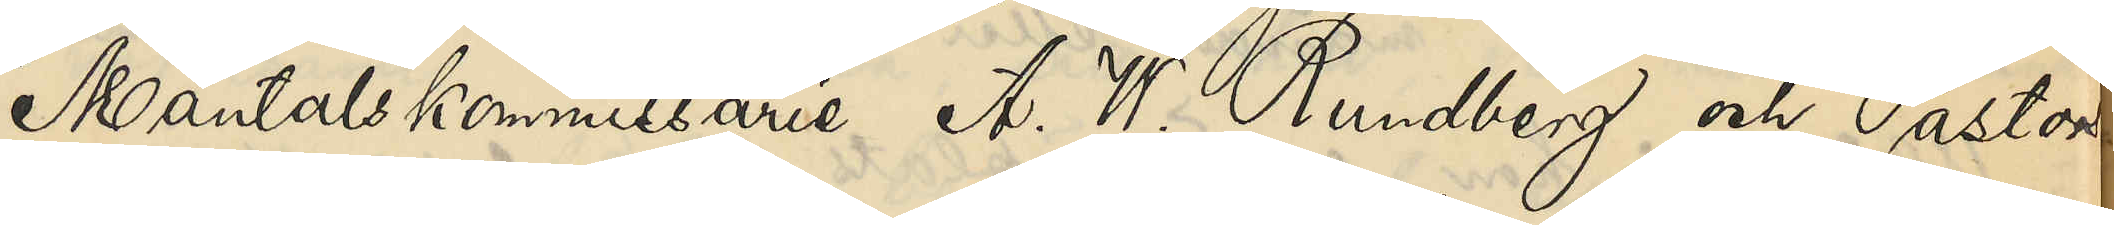Mantalskommissarie A.W.Rundbergs och Pastors¬
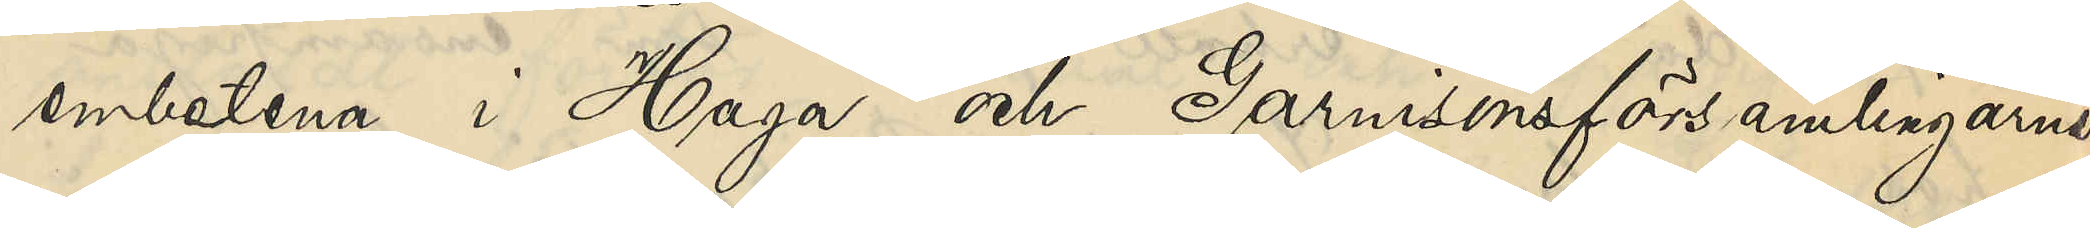embetena i Haga och Garnisonsförsamlingen
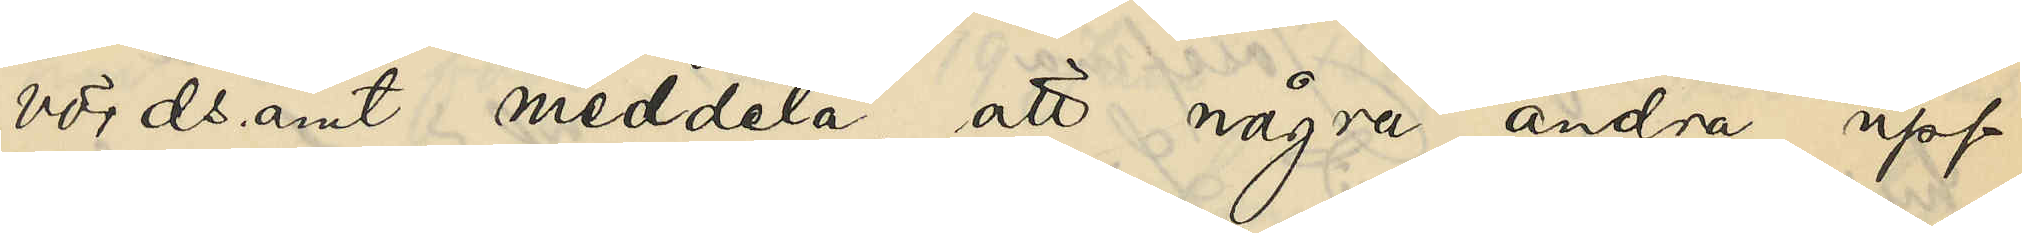vördsamt meddela, att några andra upp¬
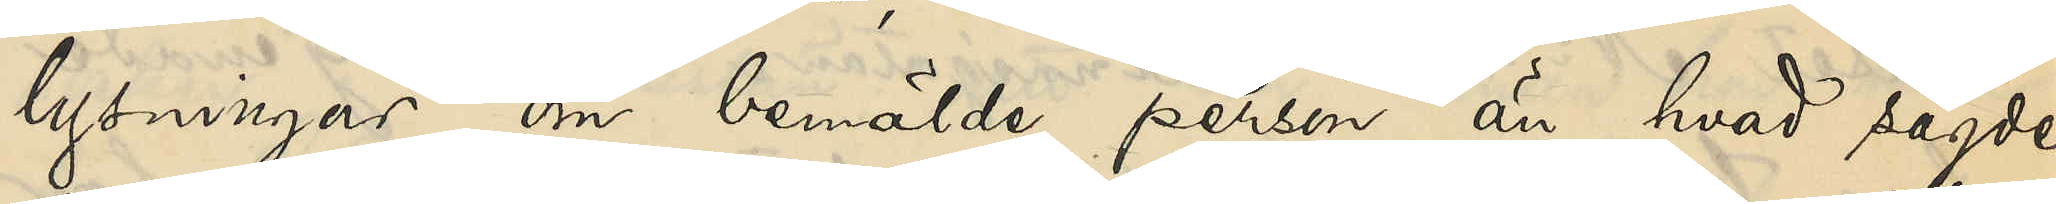lysningar om bemälde person, än hvad sagde
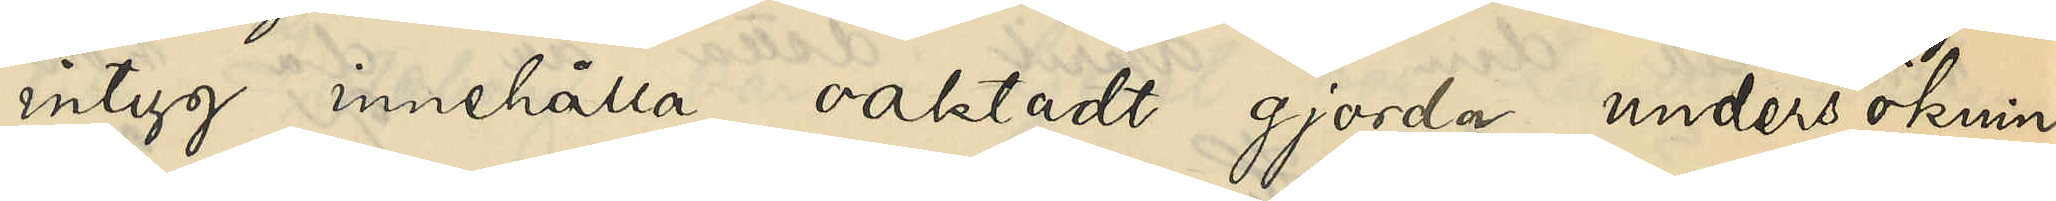intyg innehålla, oaktadt gjorda undersöknin¬
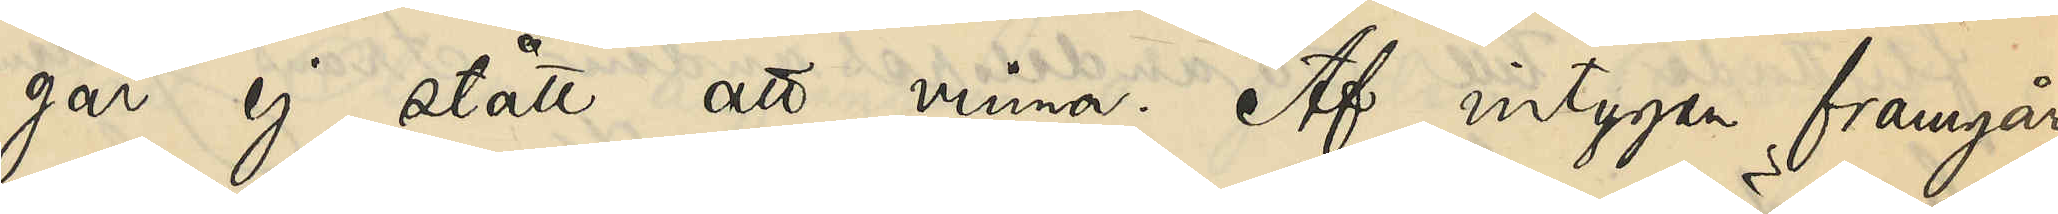gar ej stått att vinna. Af intygen framgår
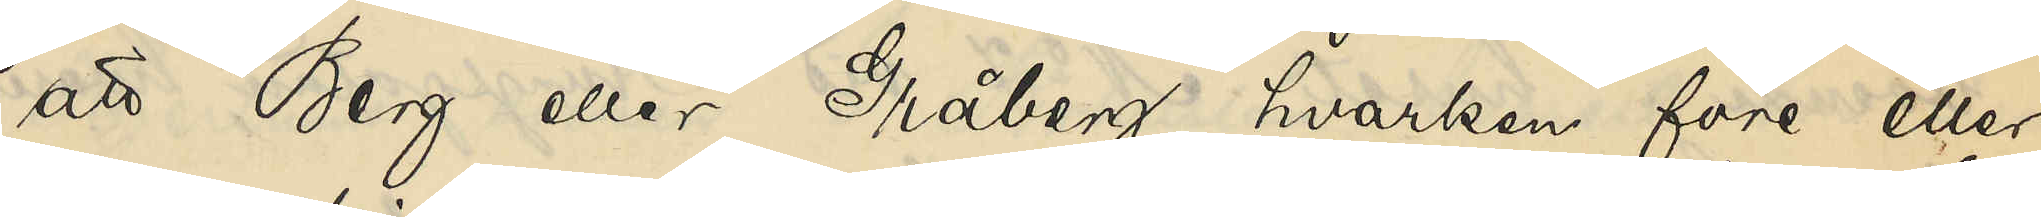att Berg eller Gråberg hvarken före eller
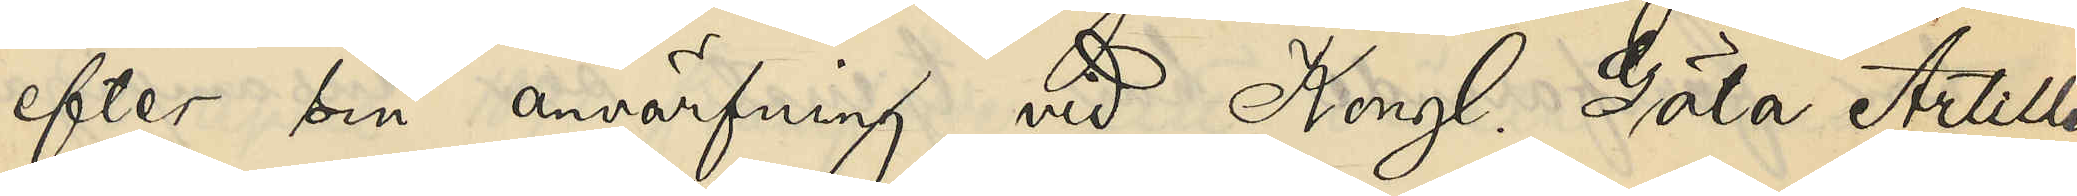efter sin anvärfning vid Kongl Göte Artille¬
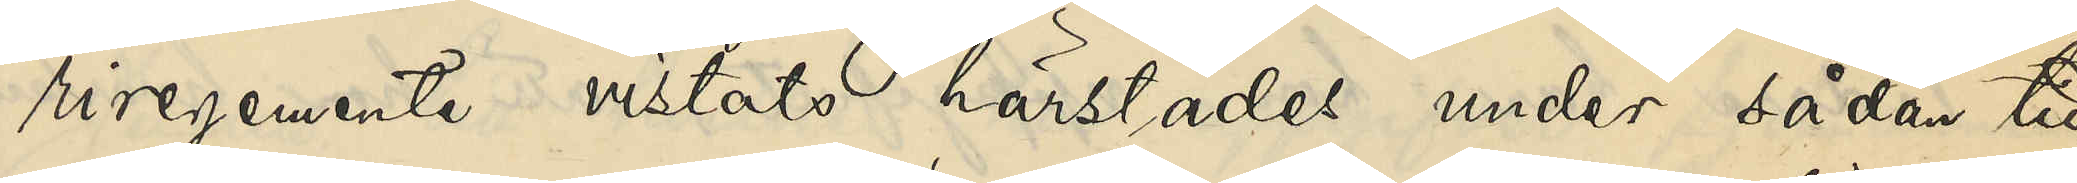riregemente vistats härstädes under sådan tid
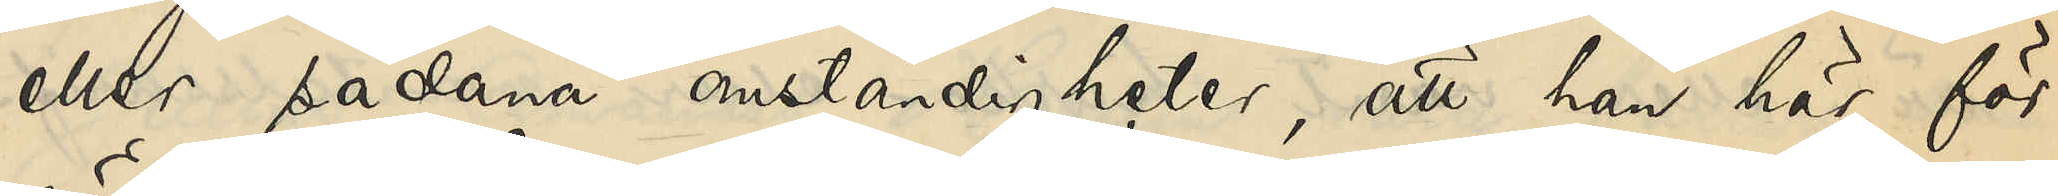eller sådana omständigheter, att han här för¬
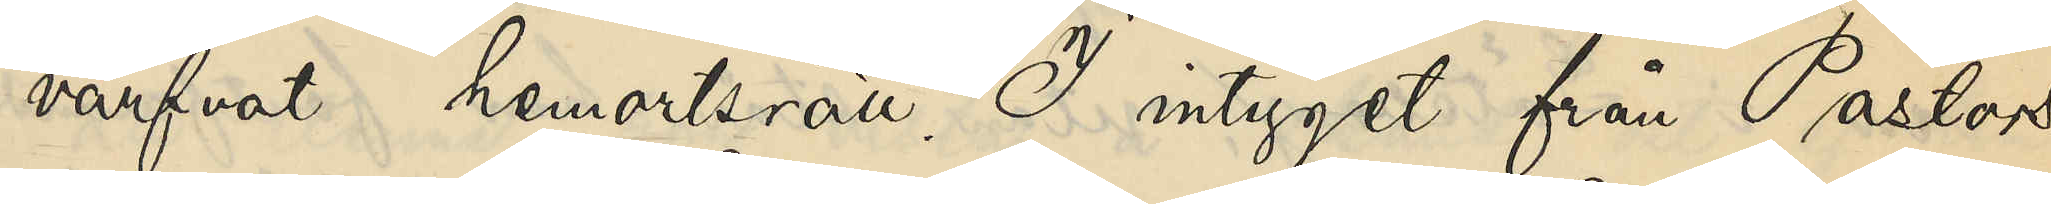värfvat hemortsrätt. I intyget från Pastors¬
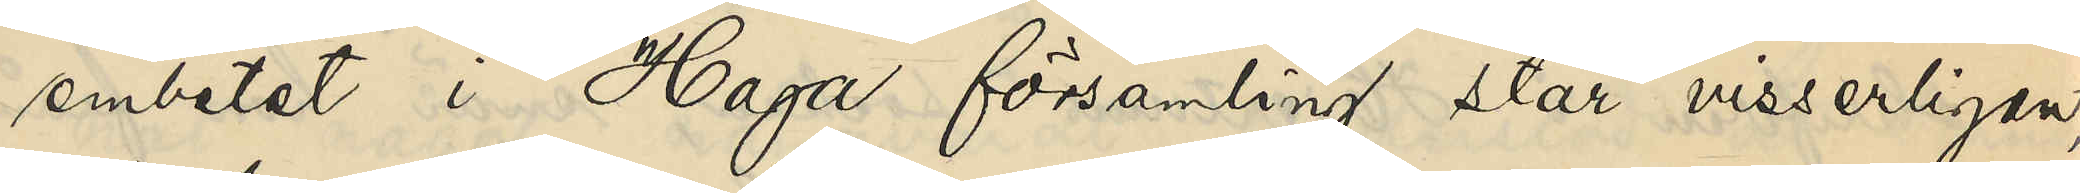embetet i Haga församling står visserligen,
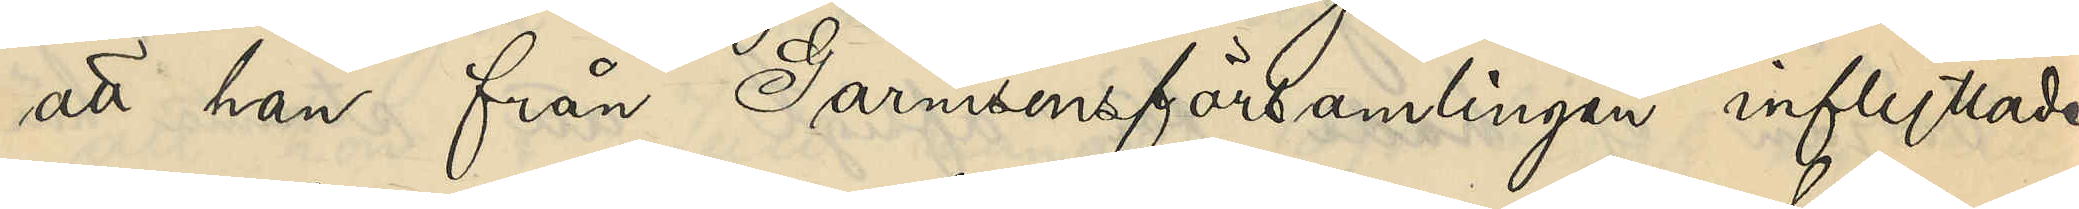att han från Garnisonsförsamlingen inflyttade
